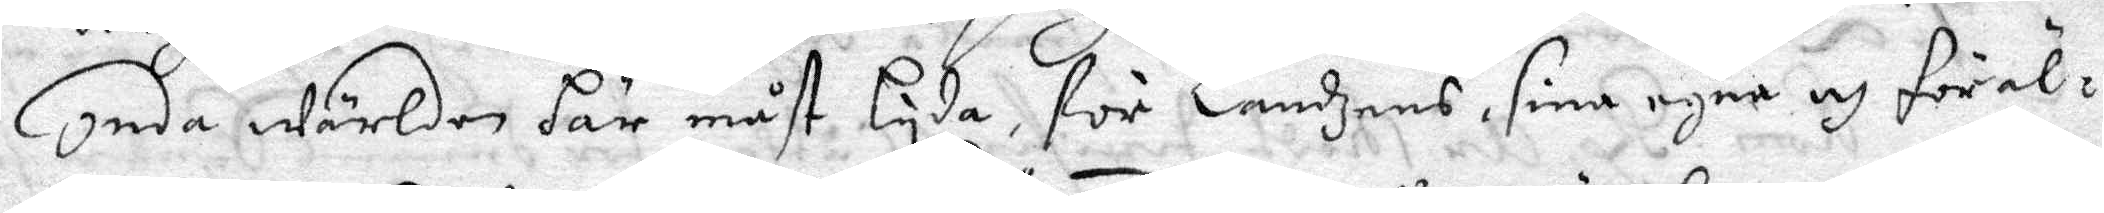onda Wärlden här måst lyda, för Landzens, sina egna och föräl¬
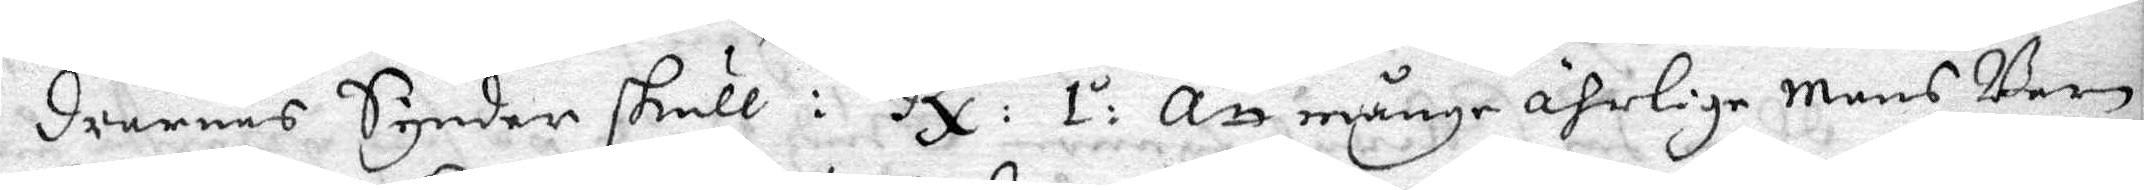drarnes Synder skull: Rx: 1:o Att månge ährlige Mens barn
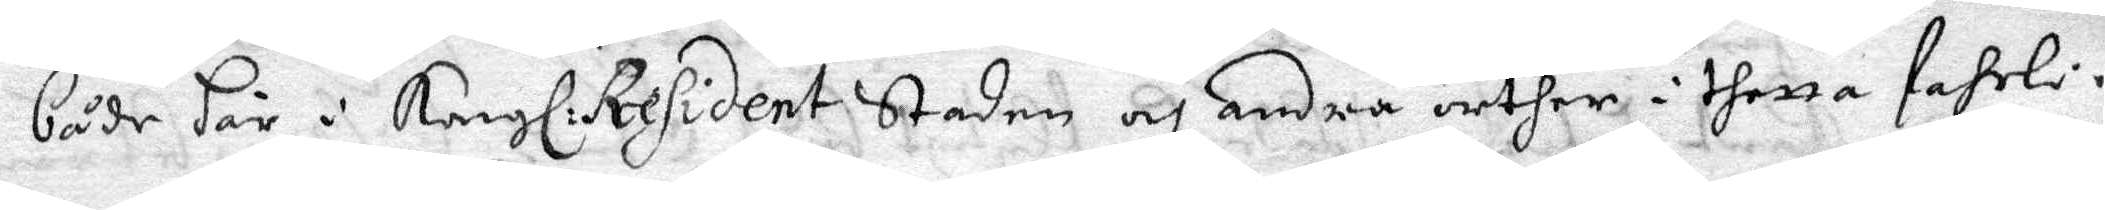både här i Kungl: President Staden och andra orther i thetta Fahrli¬
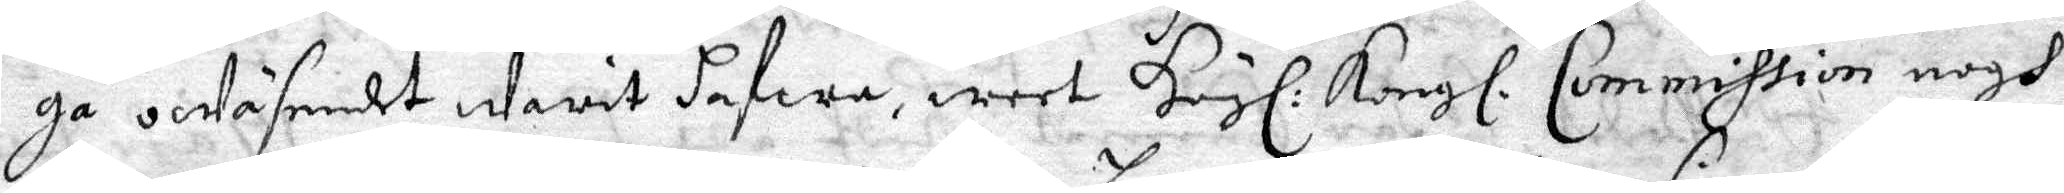ga oWäsendet Warit hafwa, weet Högl: Kongl. Commission nogh
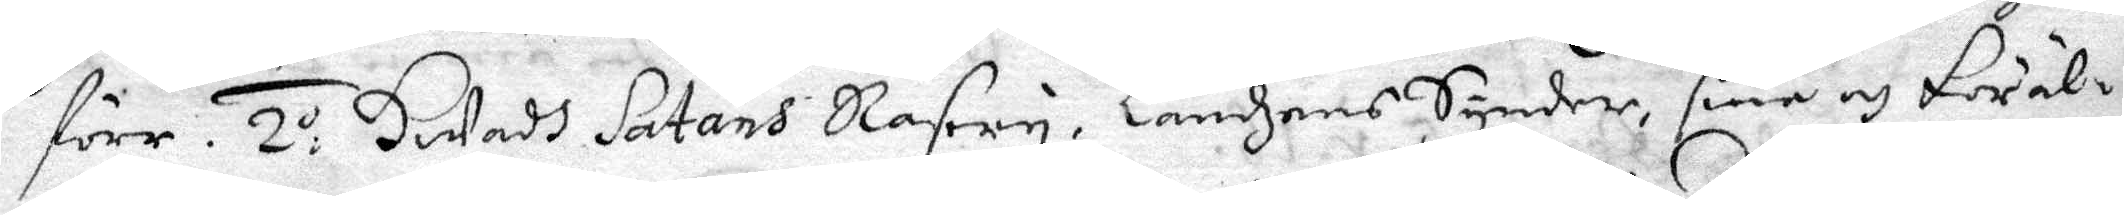förr. 2:o HWadh Satans Rasery, Landzens Synder, sine och Föräl¬
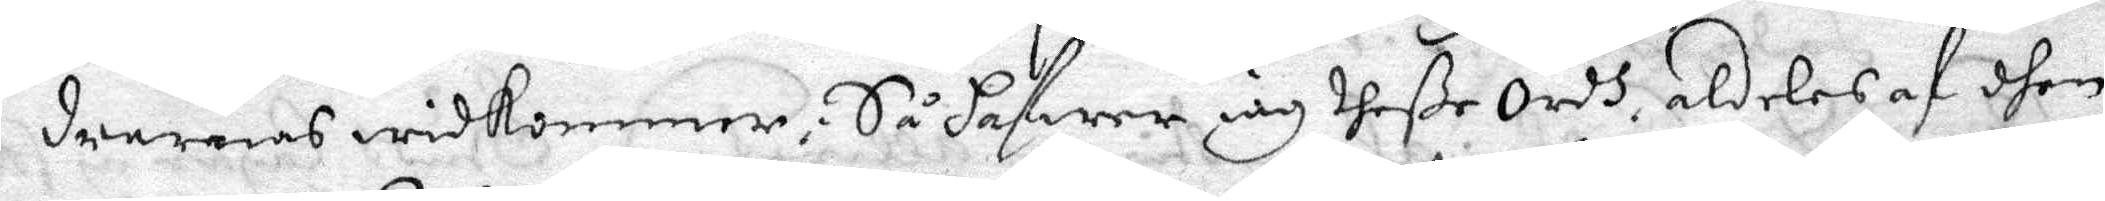drarnas widkommer; Så hafwer iag theße Ordh aldeles af dhen
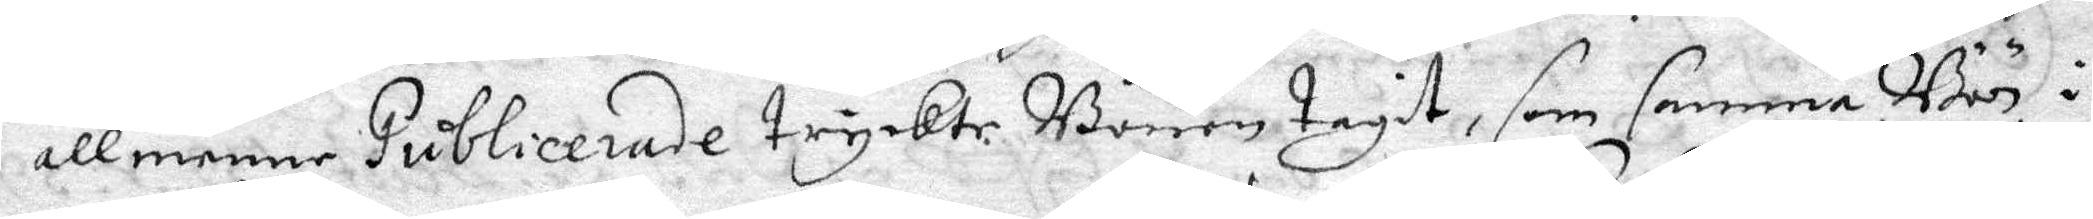allmenne Publicerade tryckte Bönen tagit, som samma Bön i
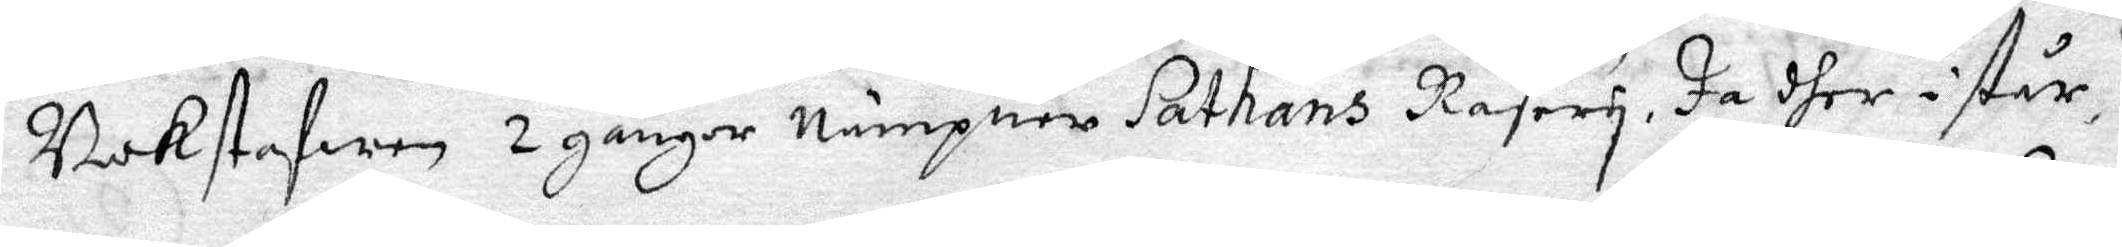Bokstafwen 2 gånger Nämpner Sathans Rasery. Ja dher i står 
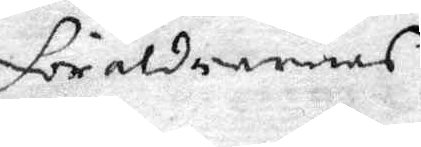föräldrarnas
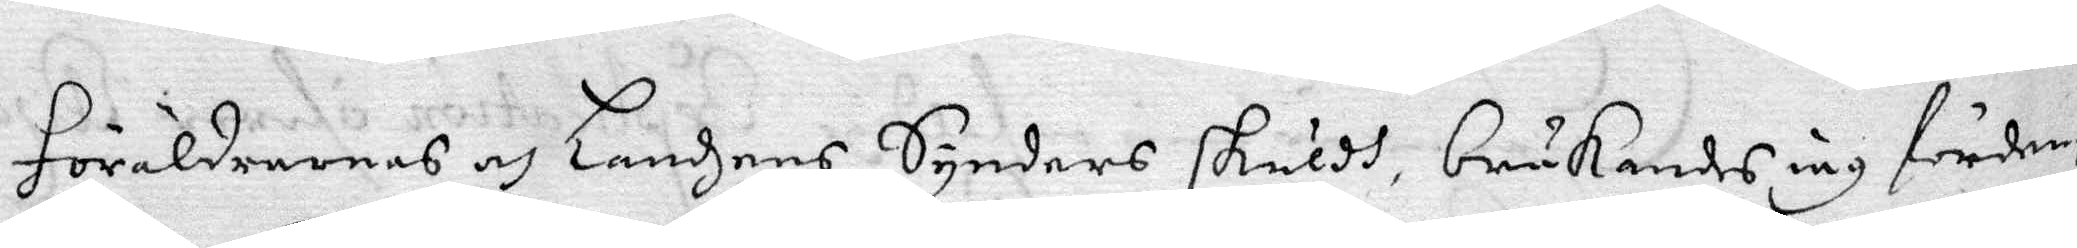föräldrarnas och Landzens Synders skuldh, brukandes iag förden
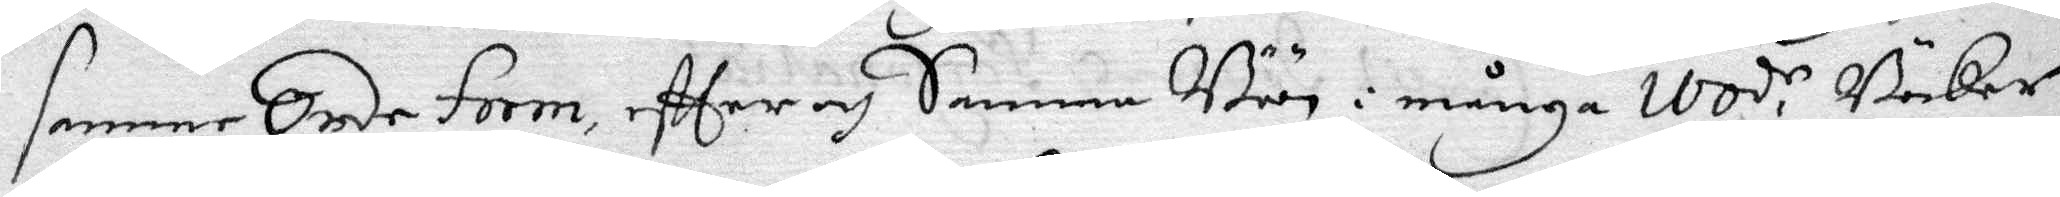samme Onde form, eftter och Samma Böön i många Ivod,r Böcker
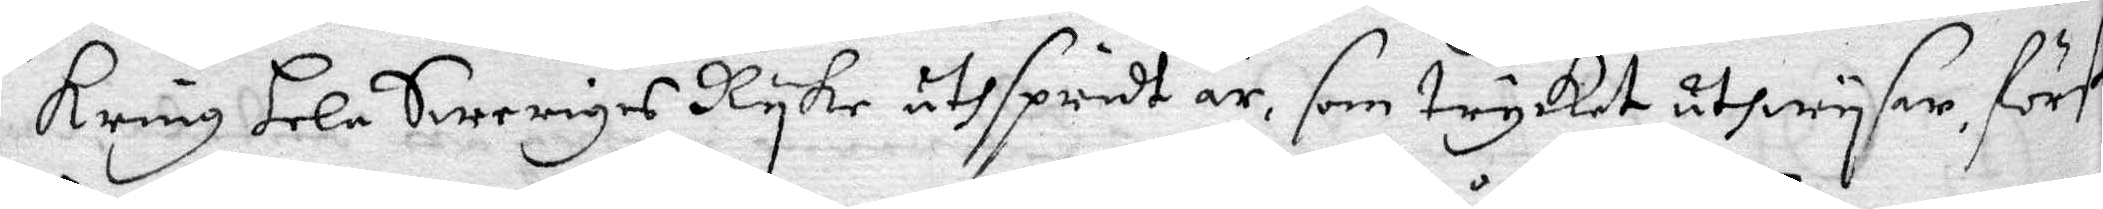kring hela Sweriges Ryke uthspridt är, som trycket åthwysar, först
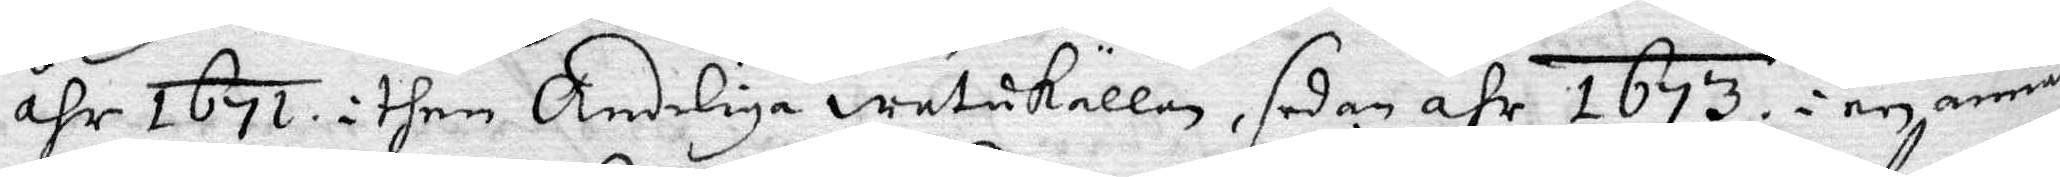åhr 1671 i then Andeliga watukällan, sedan åhr 1673 i en annan
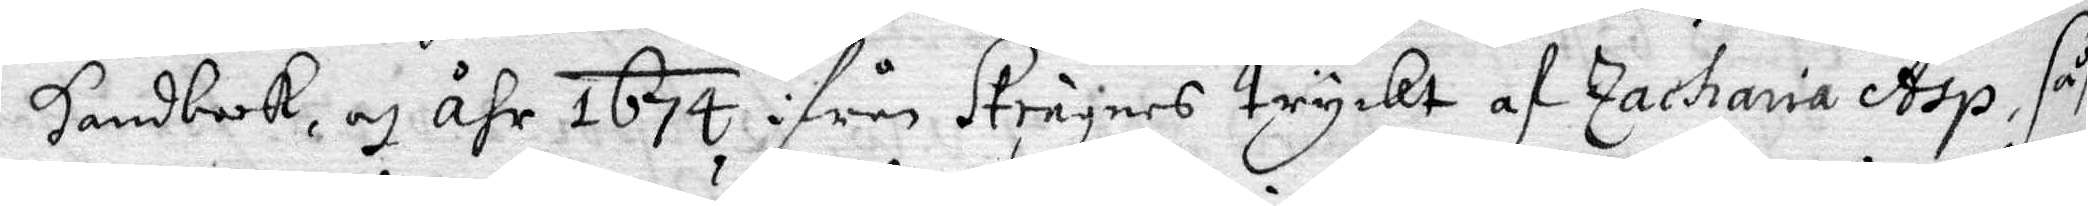handbook, och åhr 1674 ifrån Stränes tryckt af Zacharia Asp, såsom
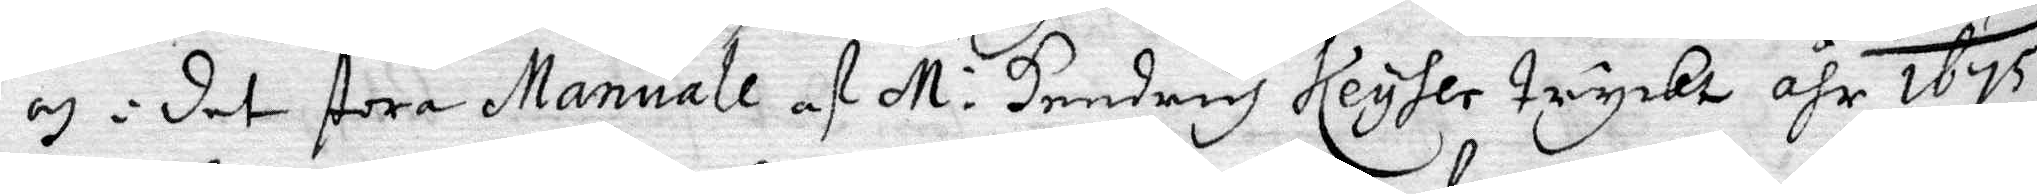och i det stora Manuale af M: Hendrich Keyser tryckt åhr 1675.
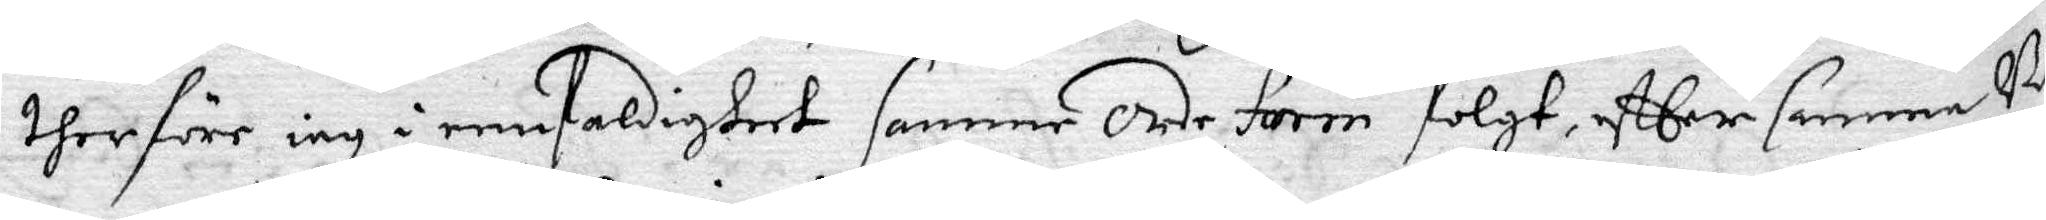therföre iag e eenfaldigheet samme orde form folgt, eftter samma Bö
